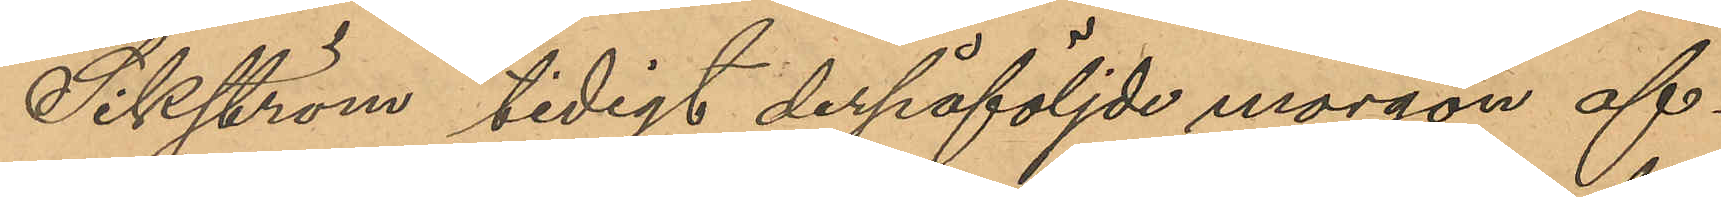Sikström tidigt derpåföljde morgon af¬
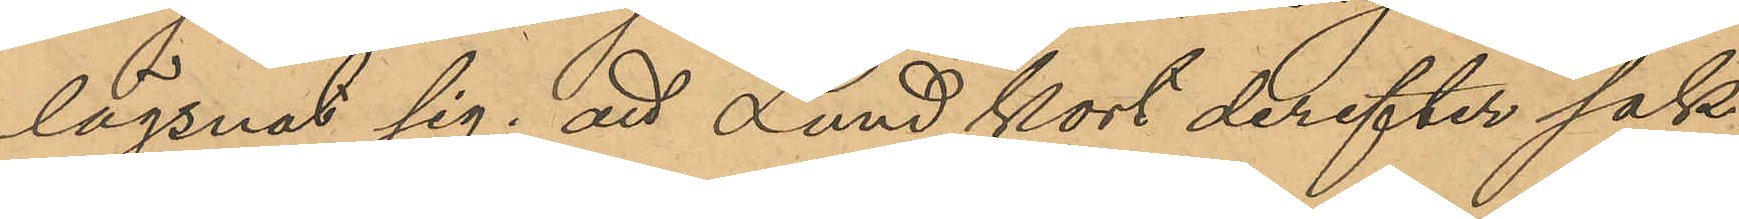lägsnat sig; att Lund kort derefter sak¬
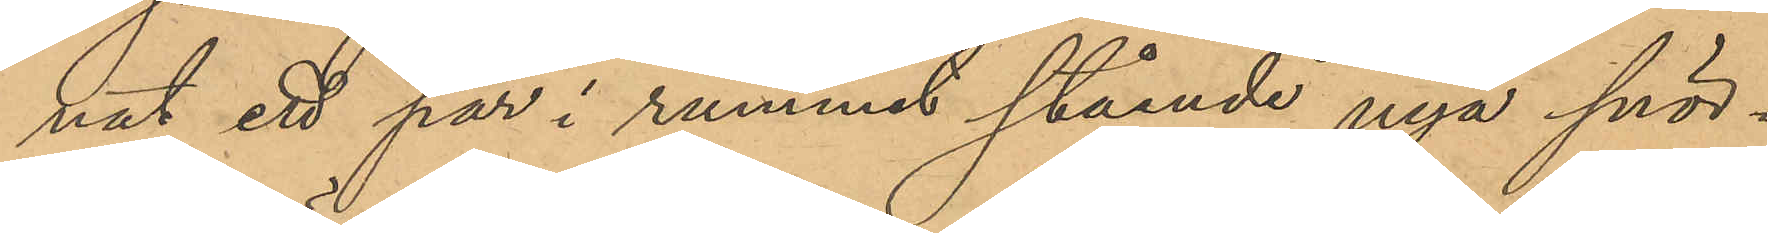nat ett par i rummet stående nya snör¬
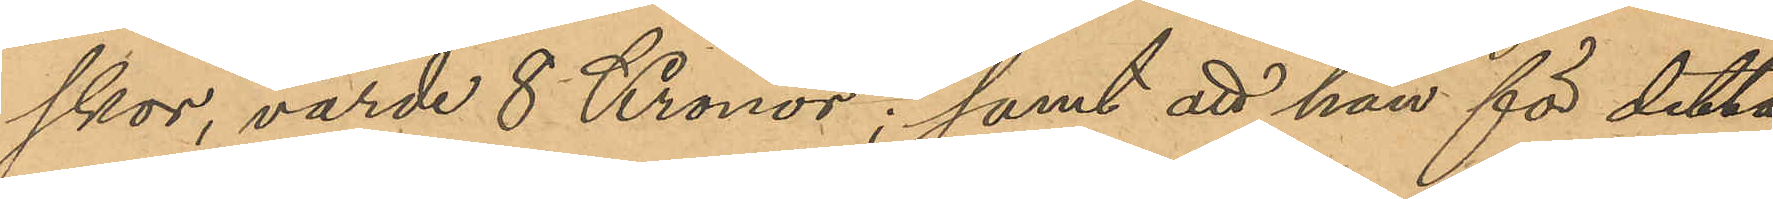skor, värde 8 Kronor; samt att han för detta
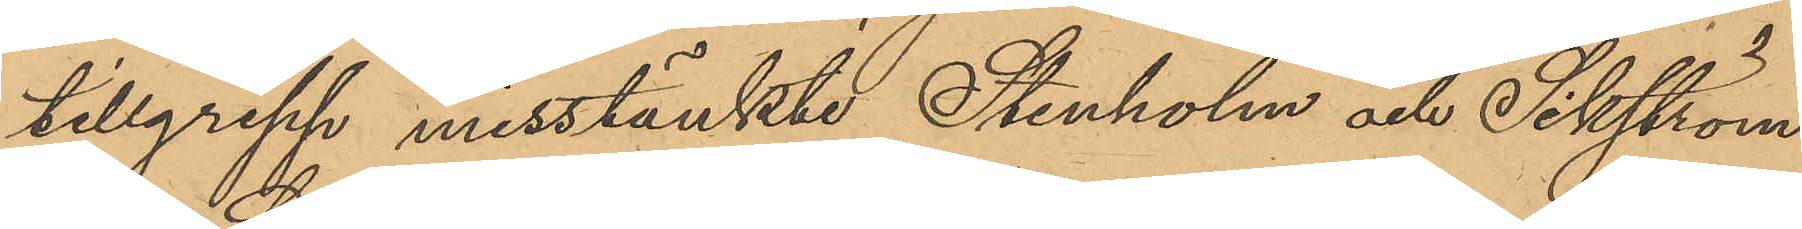tillgrepp misstänkte Stenholm och Sikström.
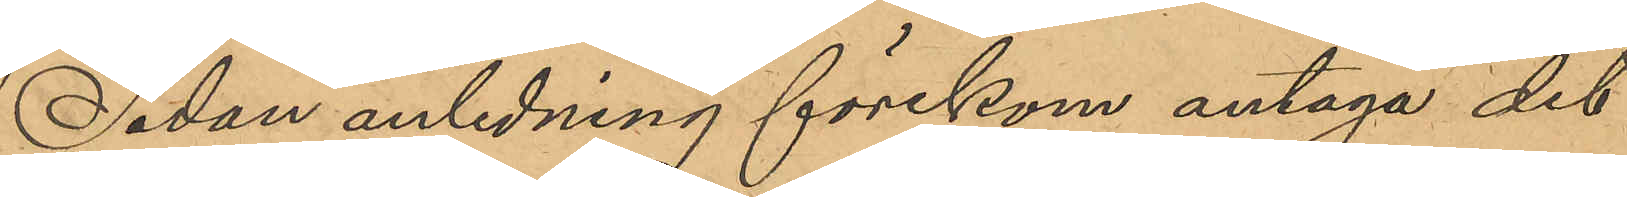Sedan anledning förekom antaga det
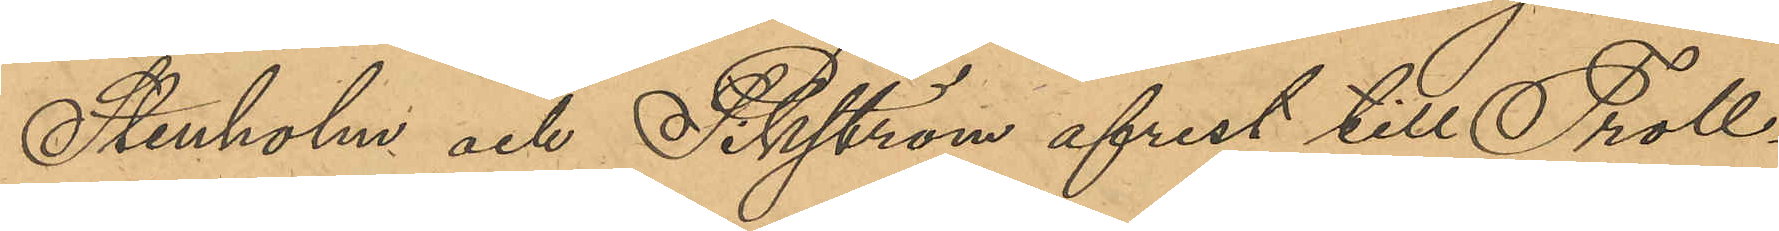Stenholm och Sikström afrest till Troll¬
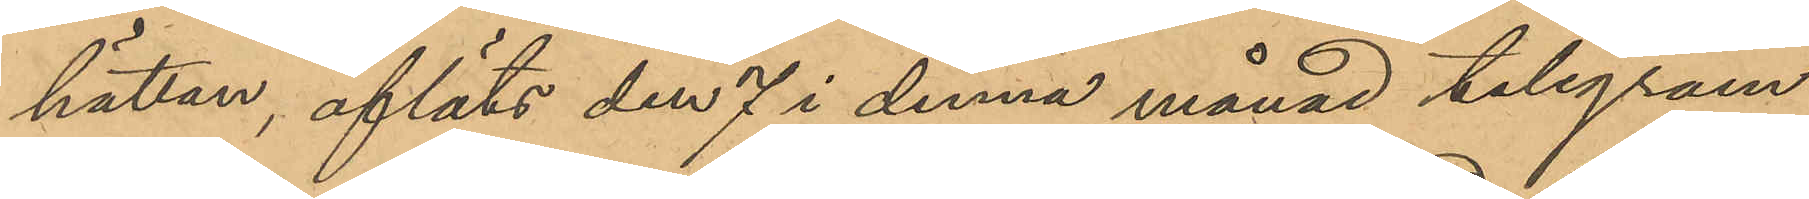hättan, afläts den 7 i denna månad telegram
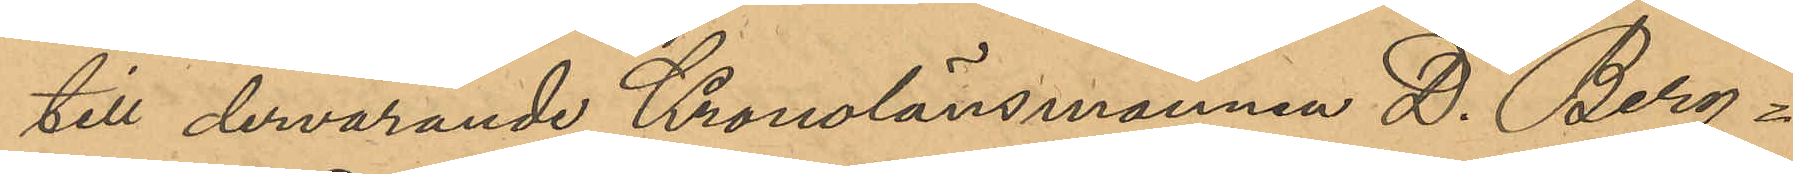till dervarande Kronolänsmannen D. Berg¬
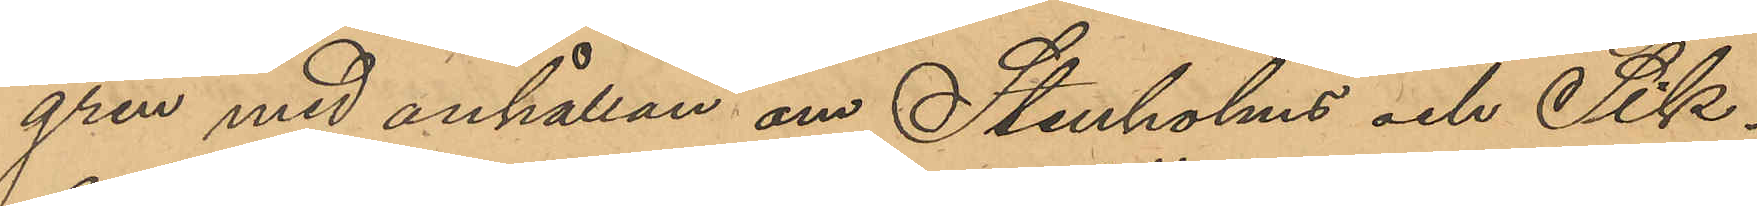gren med anhållan om Stenholms och Sik¬
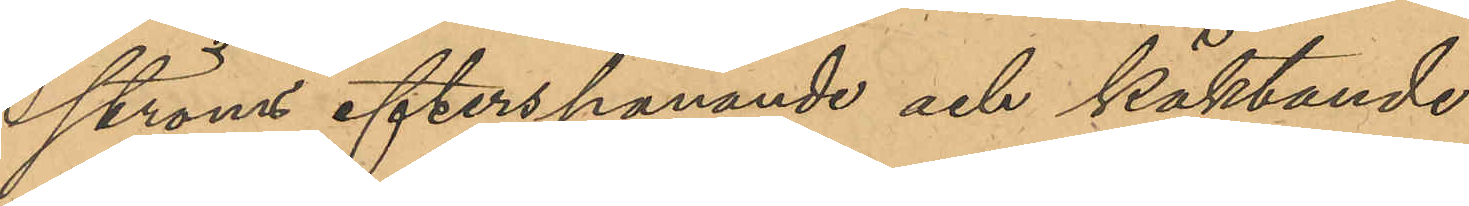ströms efterspanande och häktande.
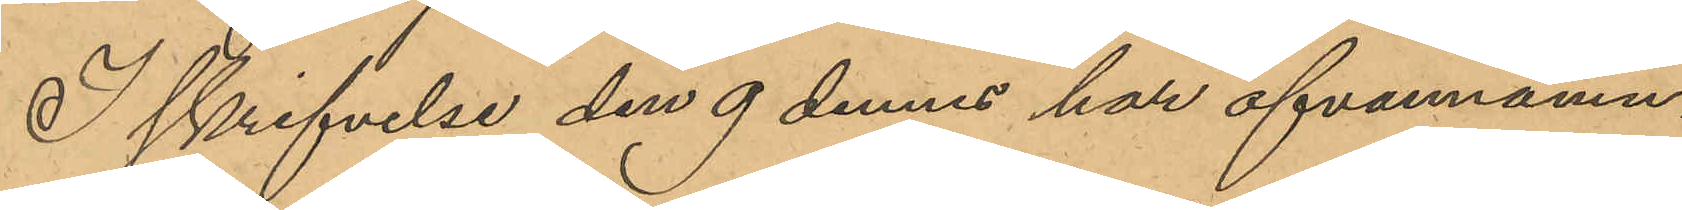I skrifvelse den 9 dennes har ofvannämn¬
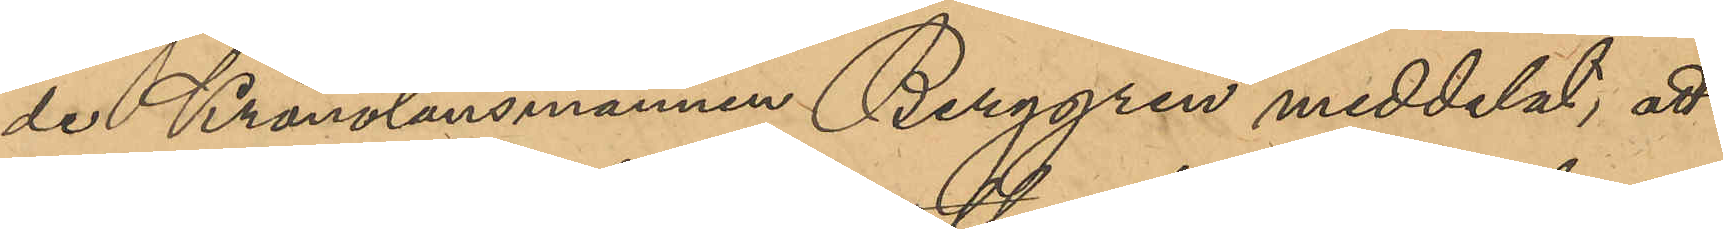de Kronolänsman Berggren meddelat, att
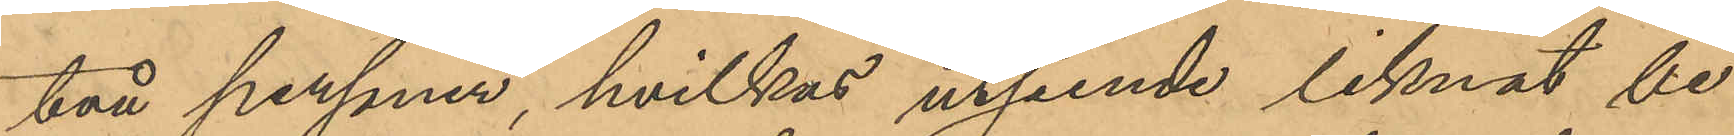två personer, hvilkas utseende liknat be¬
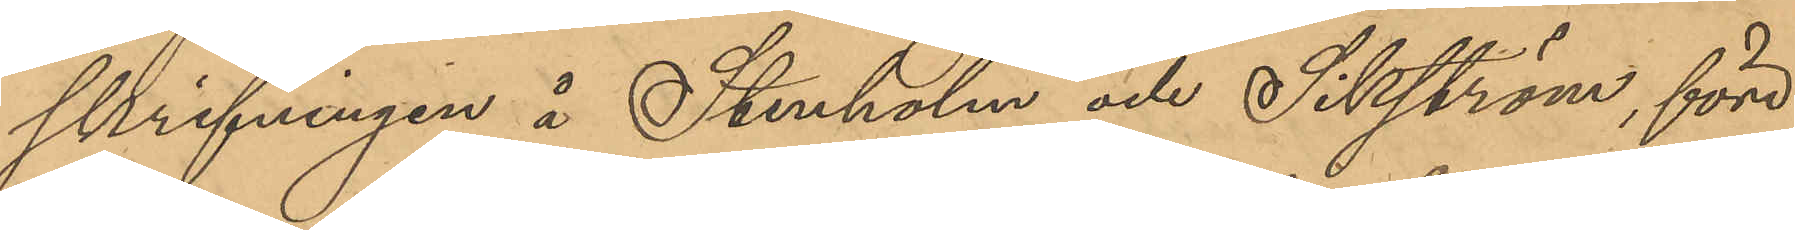skrifningen å Stenholm och Sikström, före
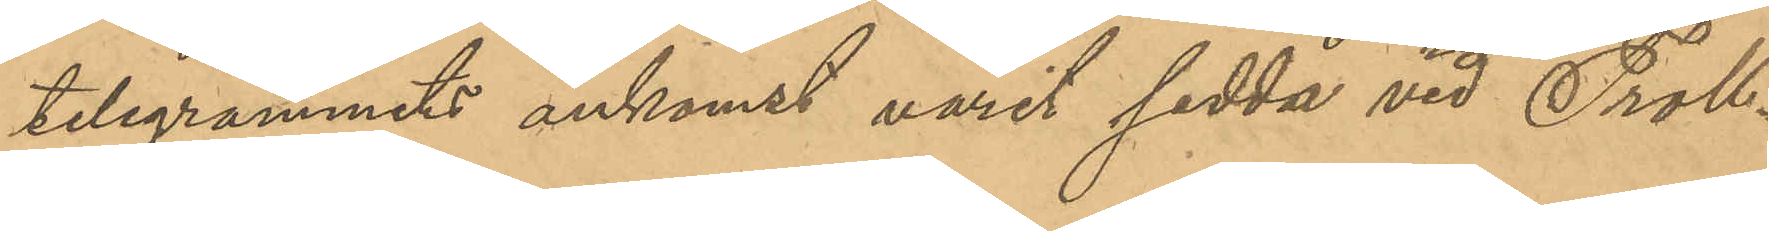telegrammets ankomst varit sedda vid Troll¬
